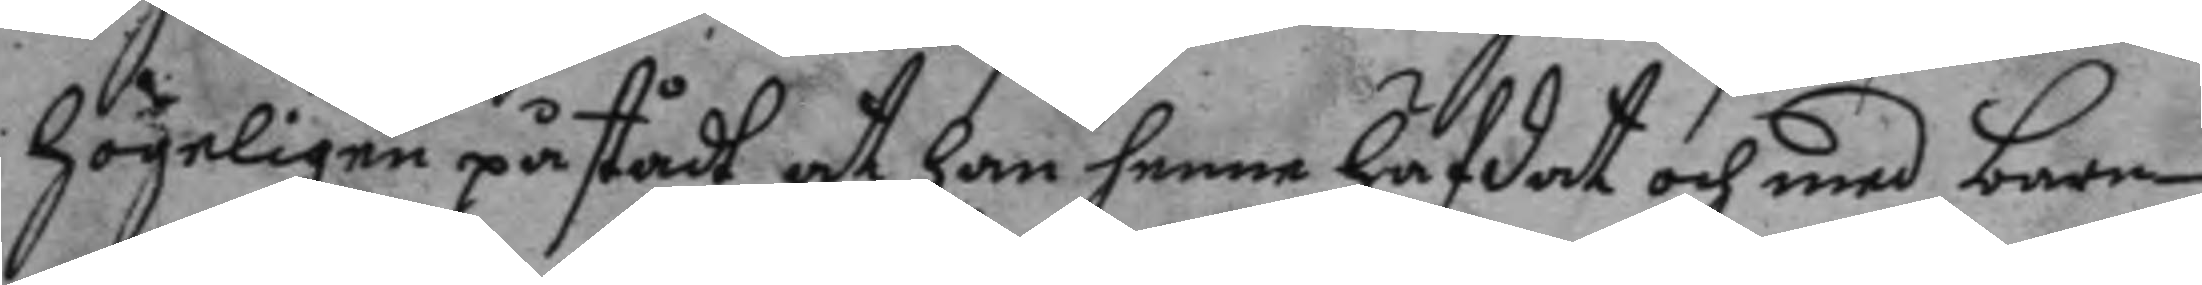högeligen påstår at han henne häfdat och med barn
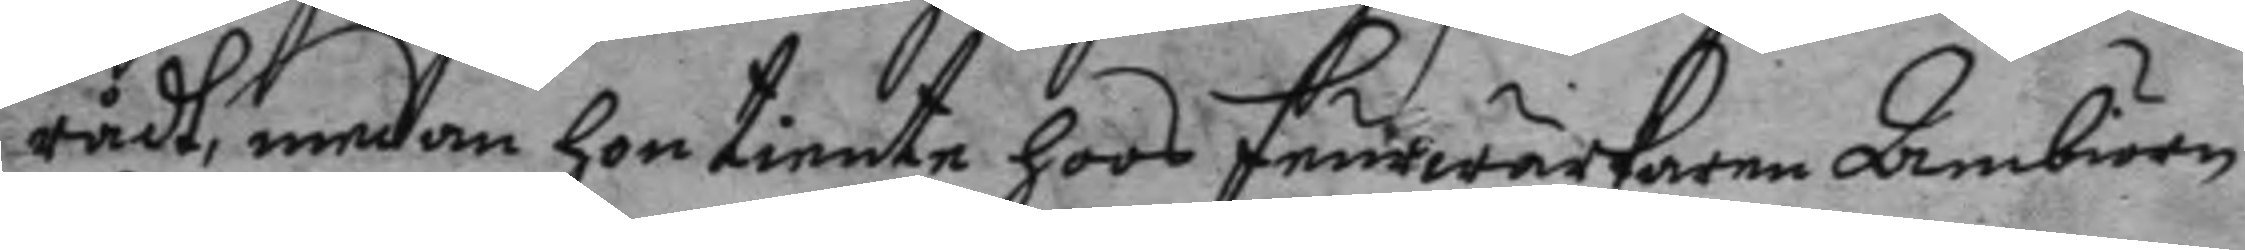rådt, medan hon tiente hoos feurwärkaren Ambiörn
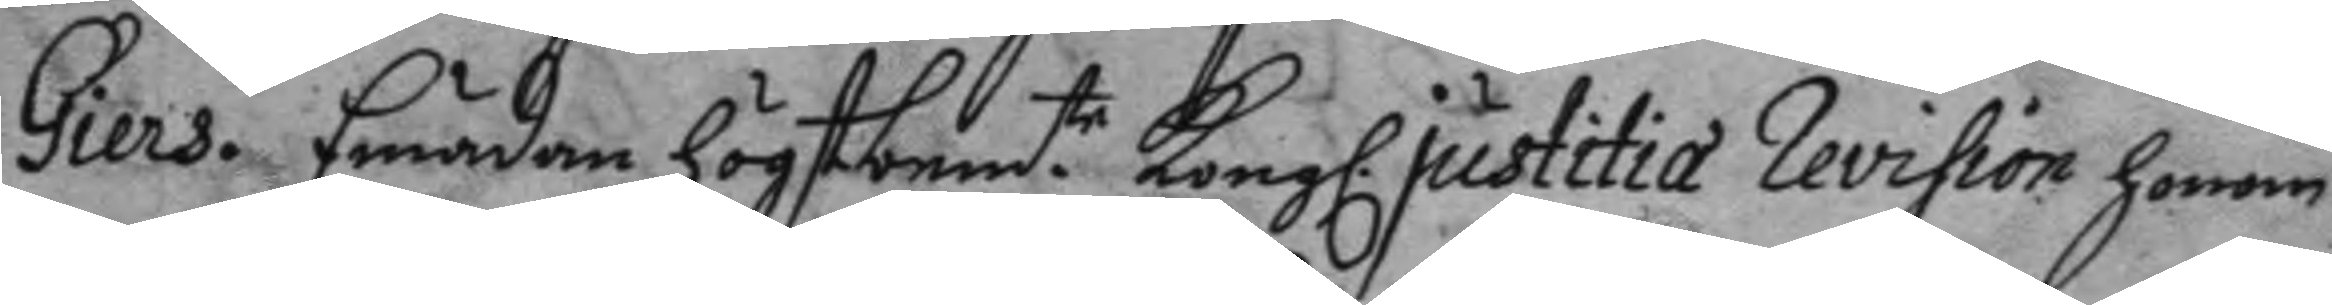Giers. Emädan högtbem.te Kongl. justitia Revision honom
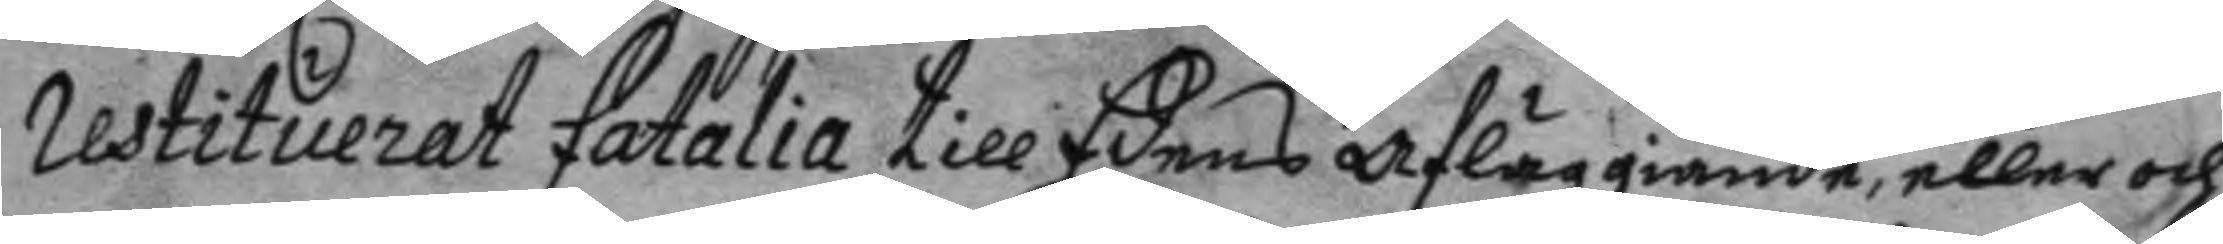Restituerat fatalia till Edens afläggiande, eller och
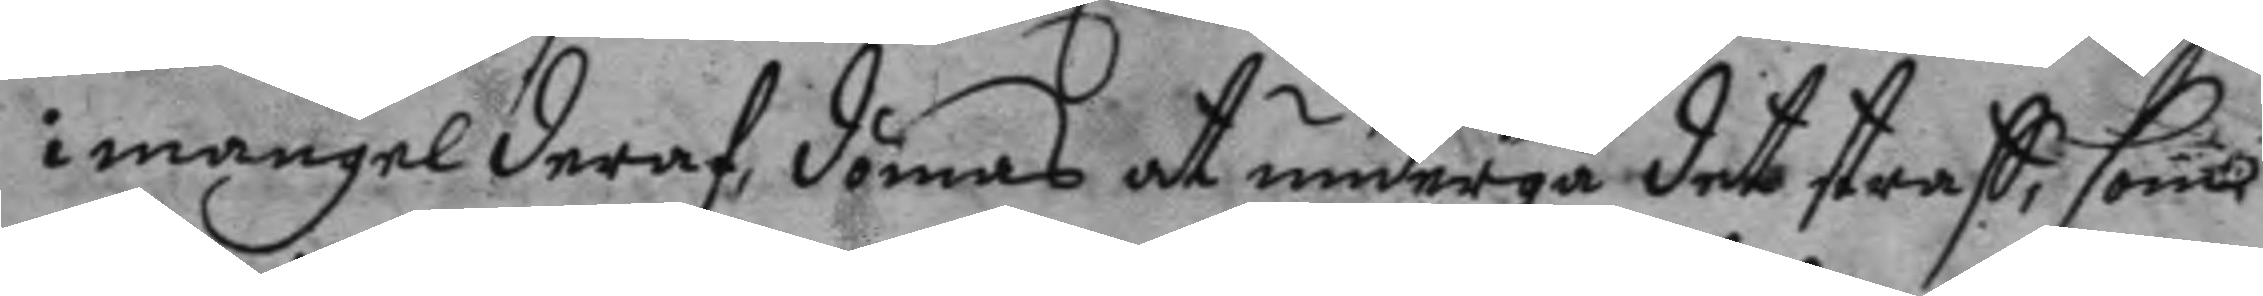i mangel deraf, dömas at undergå det straff, som
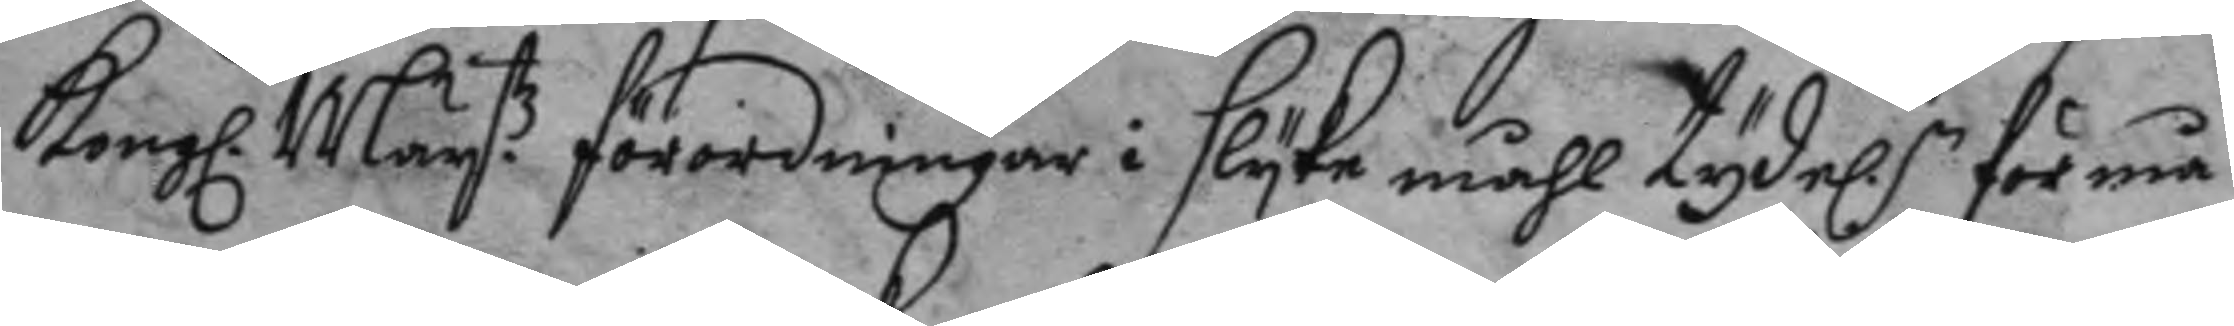Kongl. Maytz förordningar i slyke måhl tydel. förmå
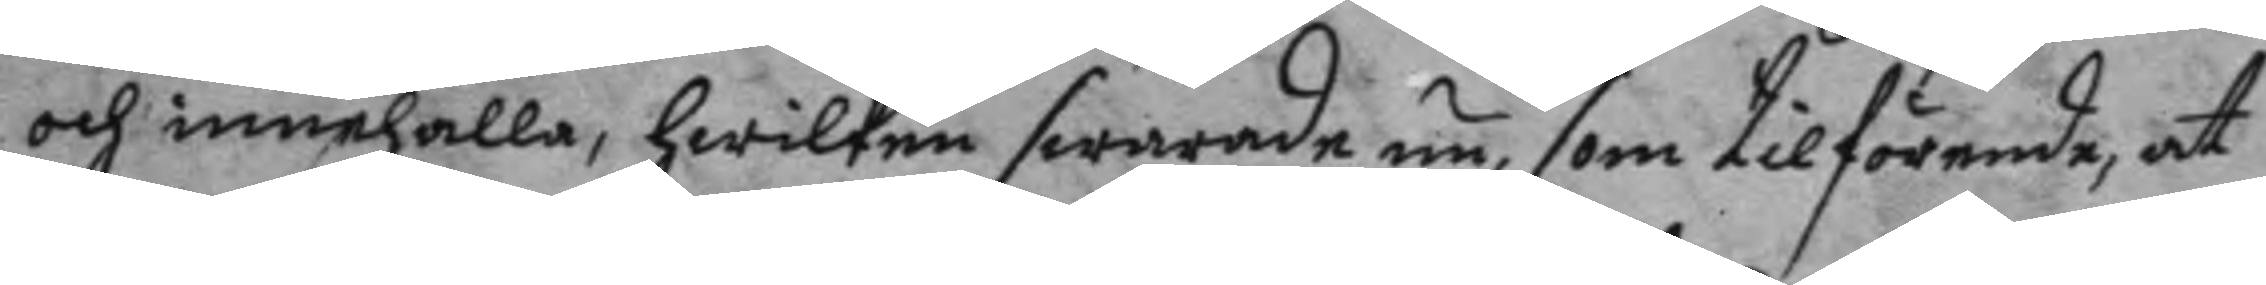och innehålla, hwilken swarade nu, som tilförende, at
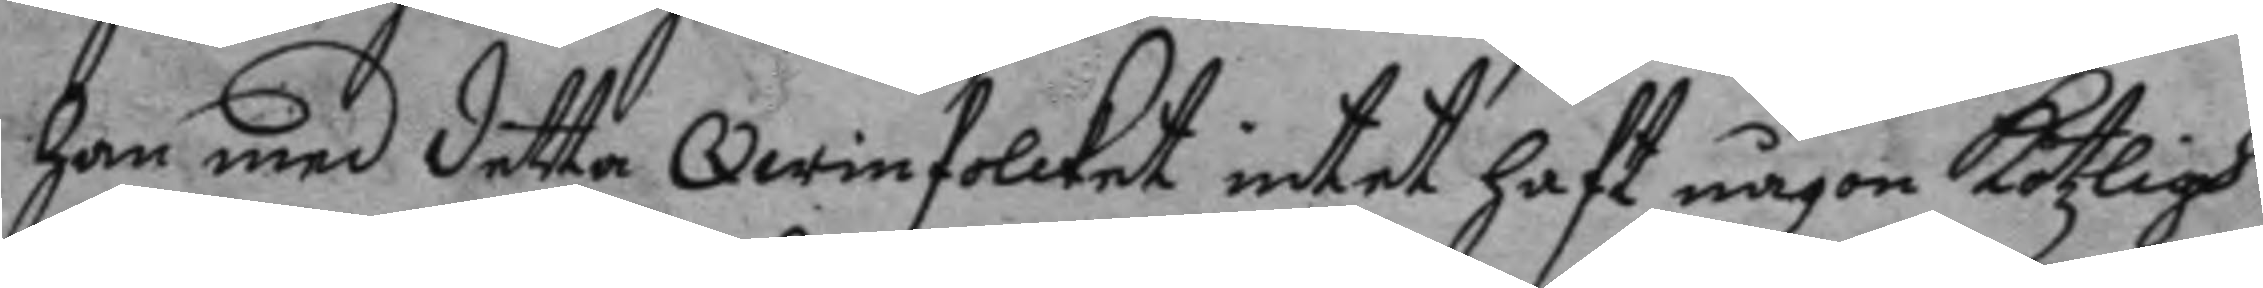han med detta Qwinfolcket intet haft någon kötzlig
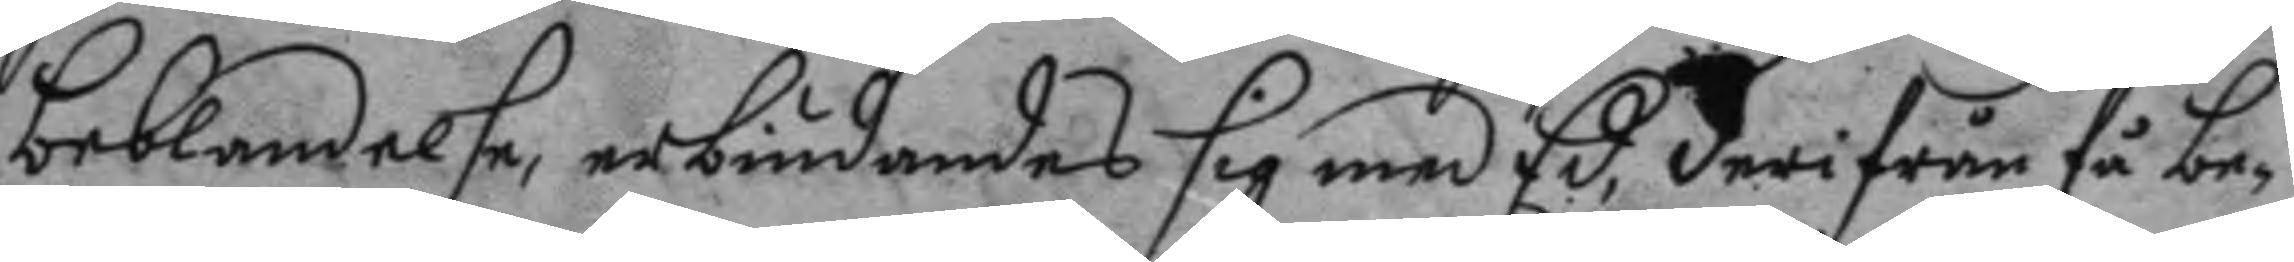beblandelse, erbiudnades sig med Ed, derifrån få be¬
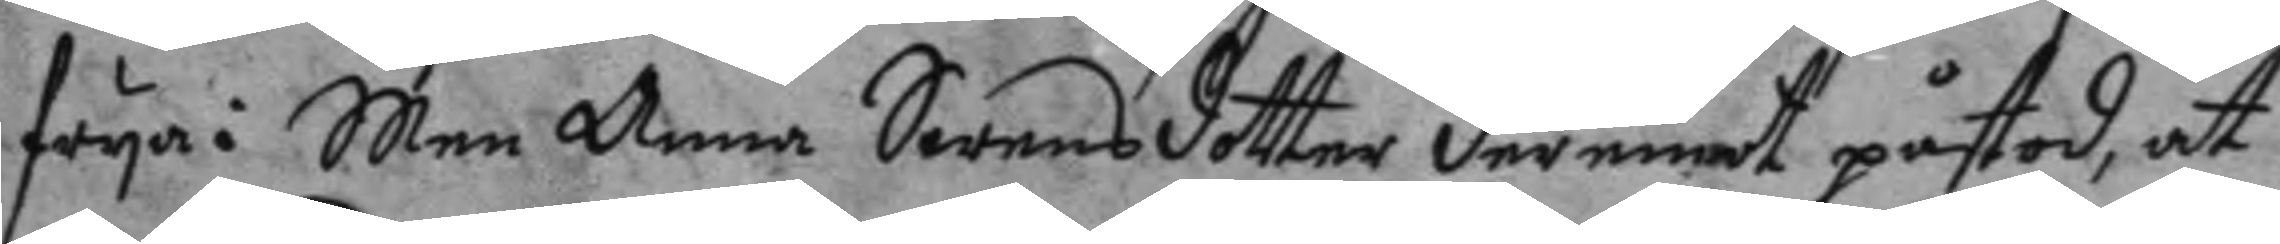frya: Men Anna Swensdotter deremot påstod, at
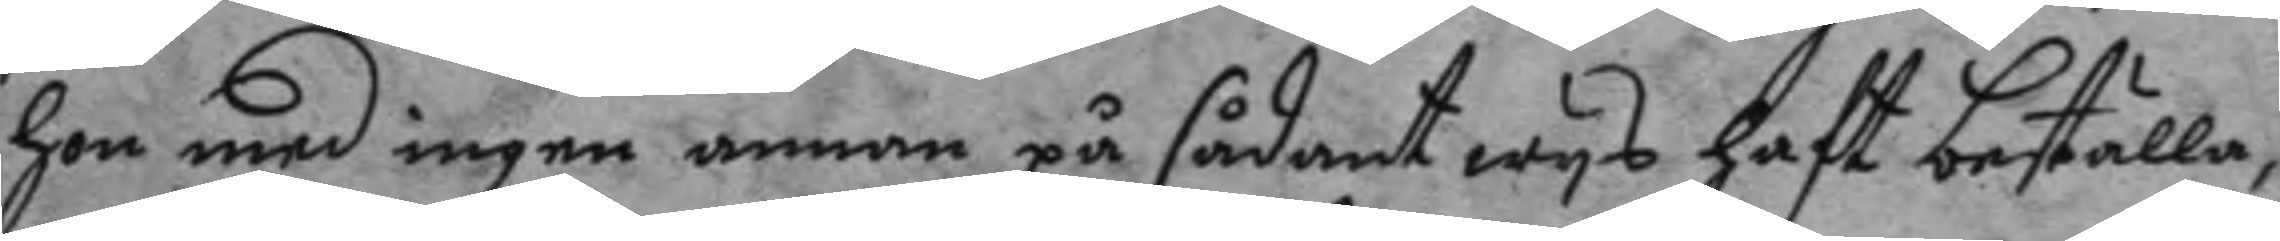hon med ingen annan på sådant wys haft beställa,
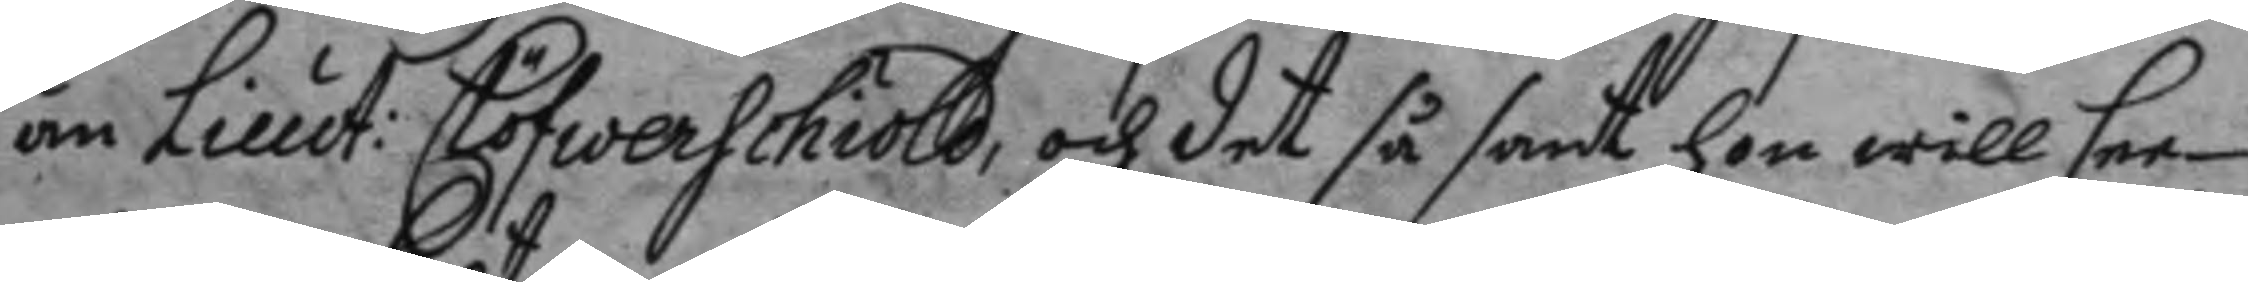än Lieut: Clöfwerschiöld, och det så sant hon wille see
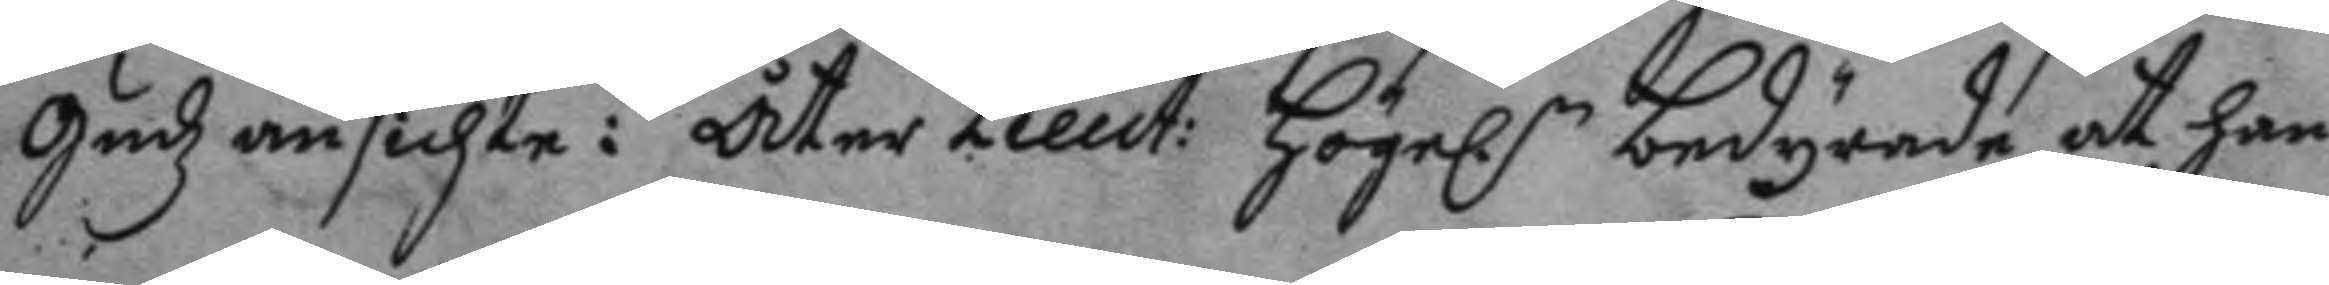gudz ansichte: Åter Lieut: högel.n bedyrade at han
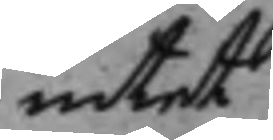intet
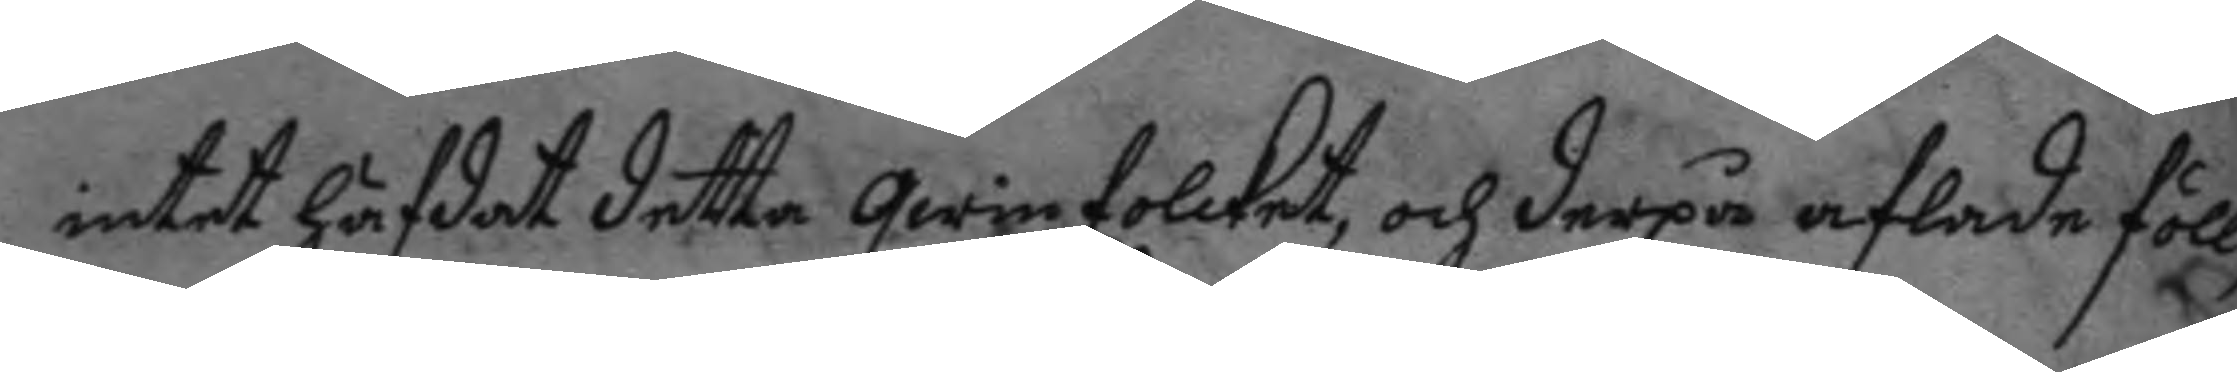intet afdat detta qwinfolcket, och derpå aflade föll¬
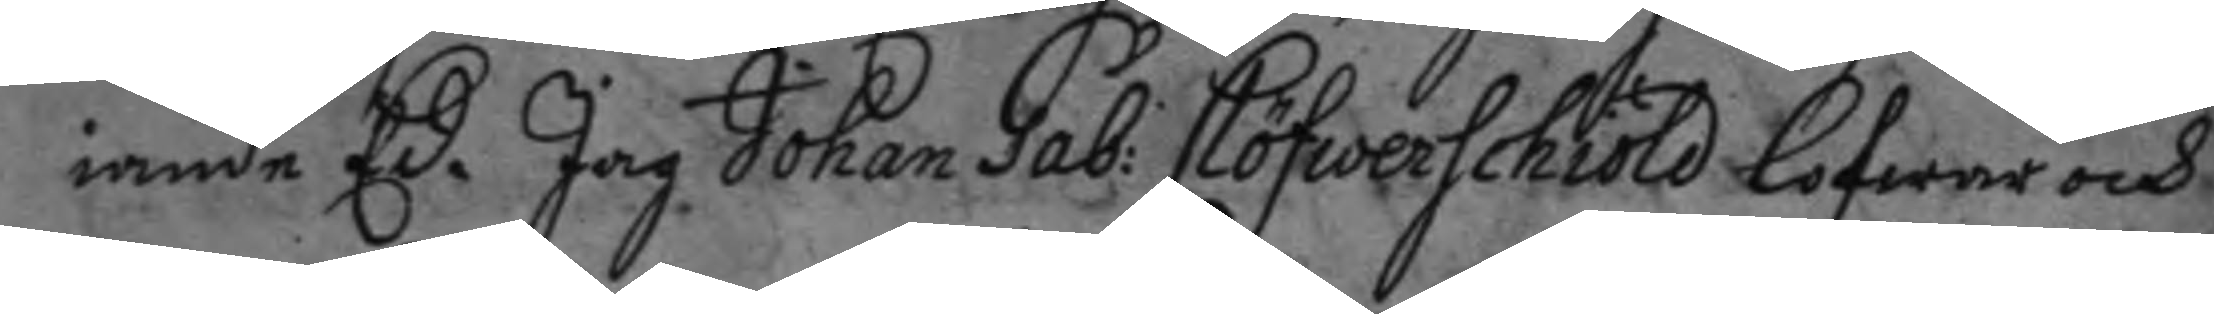iande Ed. Jag Johan Gab: Clöfwerschiöld lofwar och
